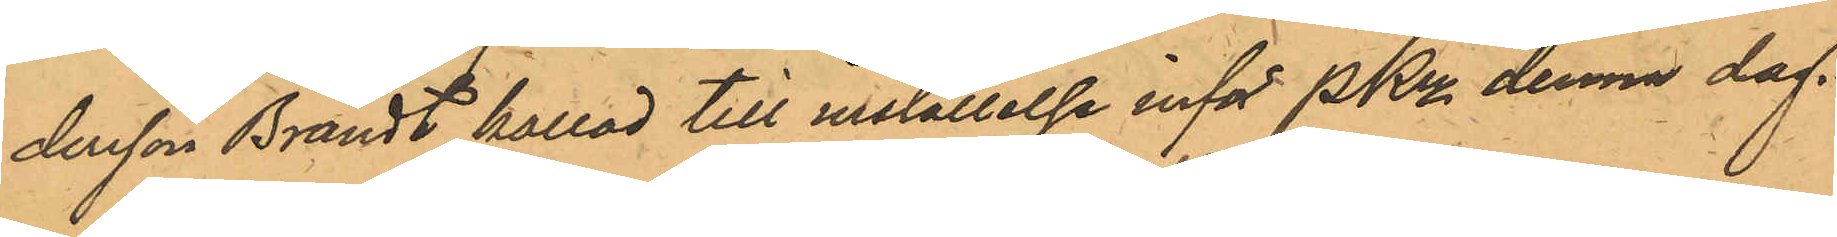dersson Brandt kallad till inställelse inför PKn denna dag.
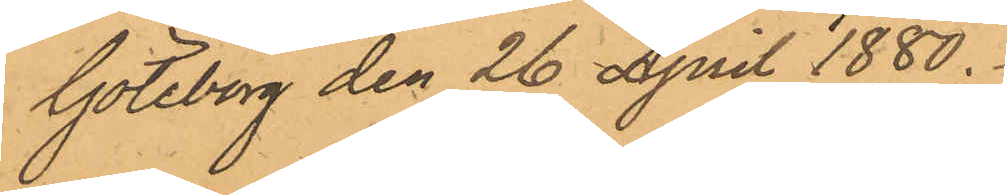Göteborg den 26 April 1880.
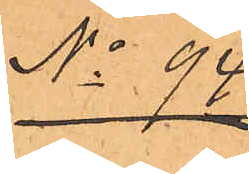No 94.
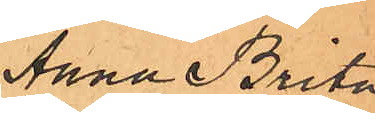Anna Brita
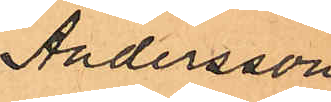Andersson
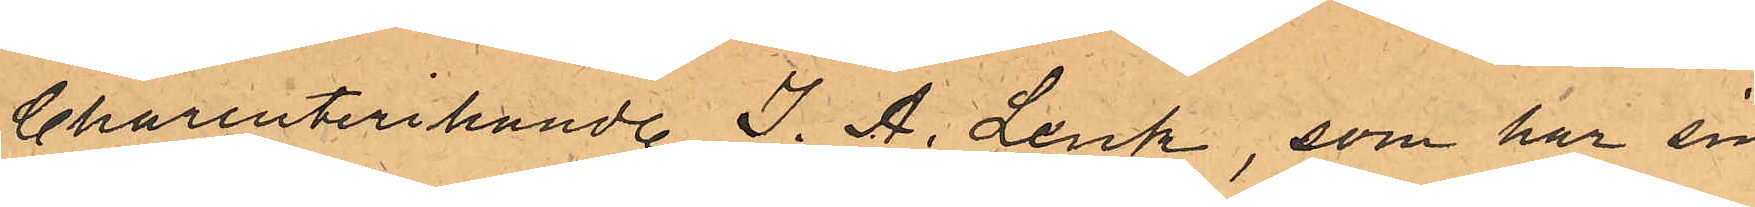Charkuterihandl. J. A. Lenk, som har sin
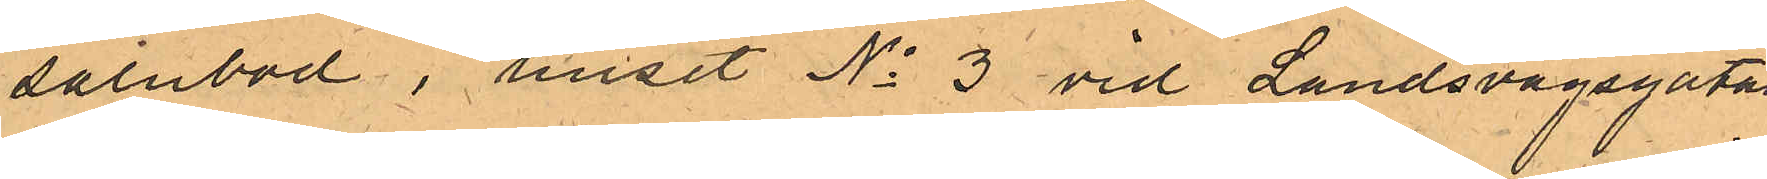salubod i huset No 3 vid Landsvägsgatan
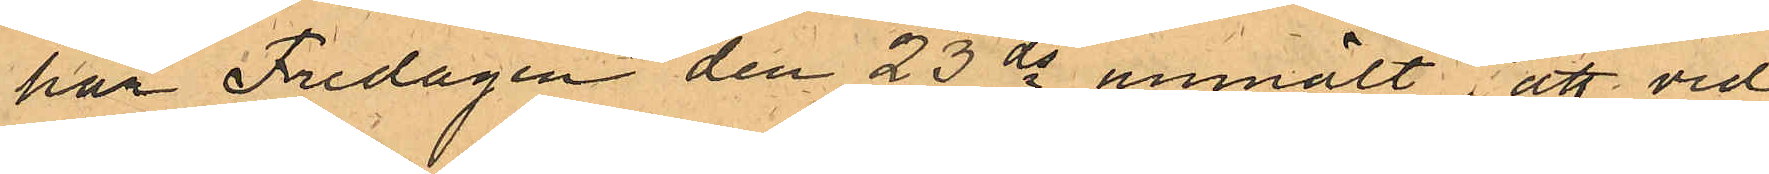har Fredagen den 23 ds anmält, att vid
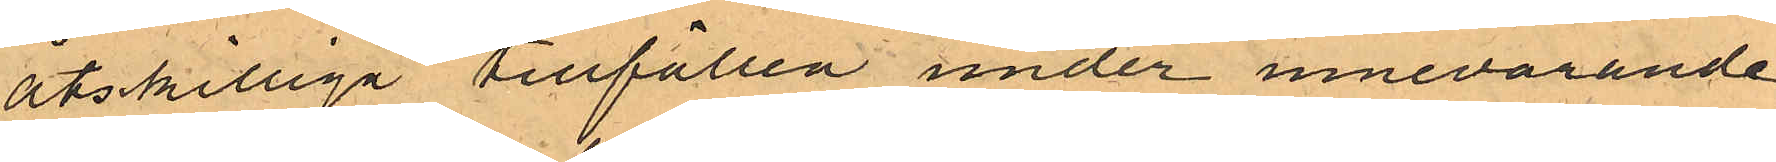åtskilliga tillfällen under innevarande
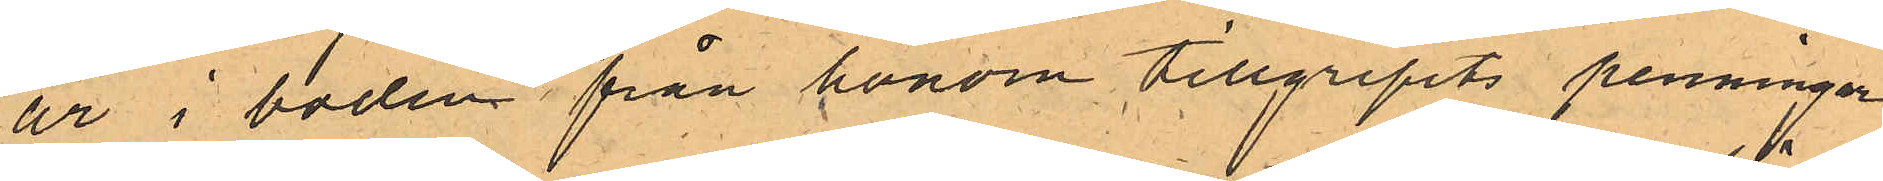år i boden från honom tillgripits penningar
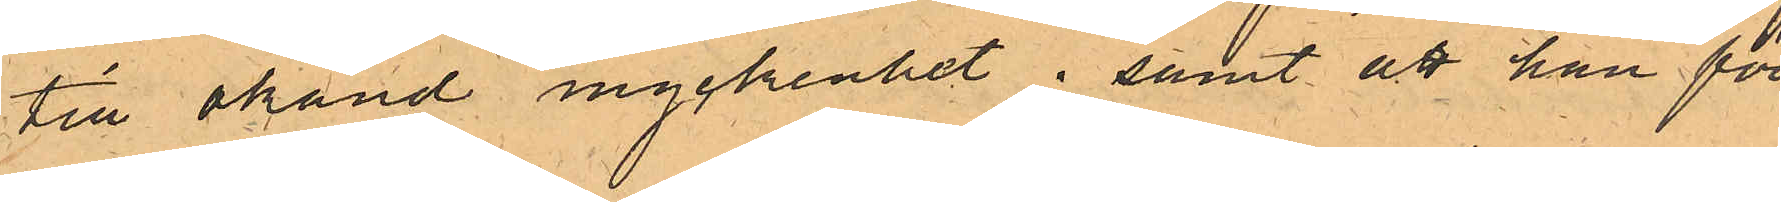till okänd myckenhet; samt att han för
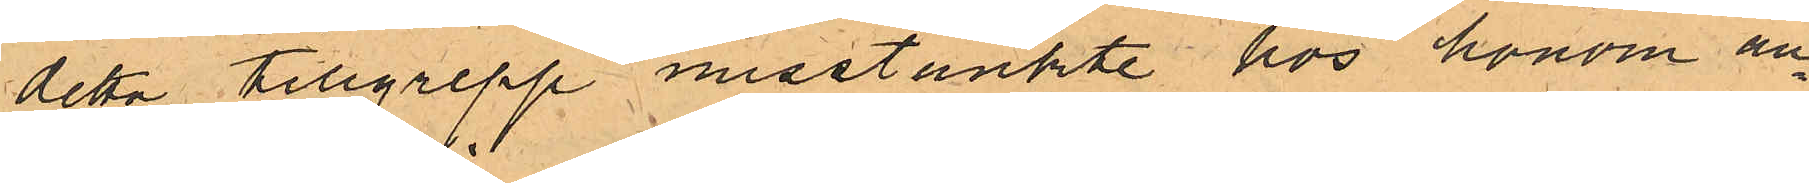detta tillgrepp misstänkte hos honom an¬
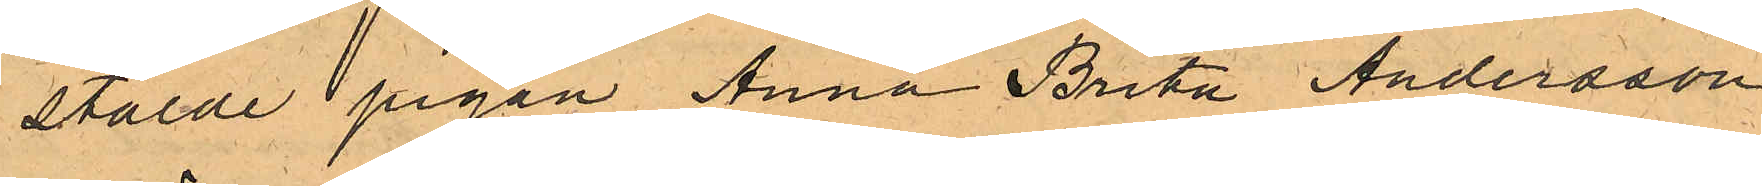stälde pigan Anna Brita Andersson
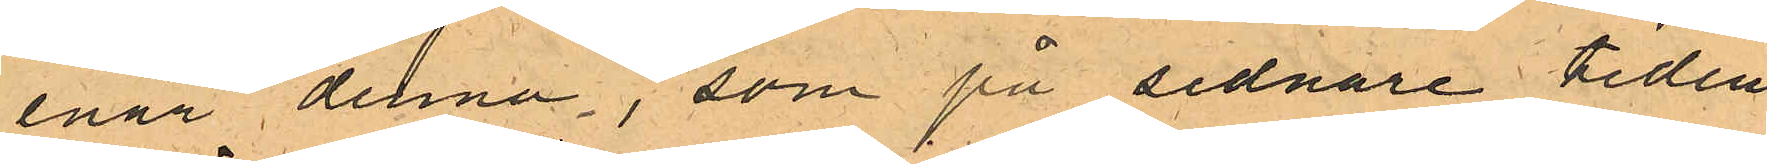enär denna, som på sednare tiden
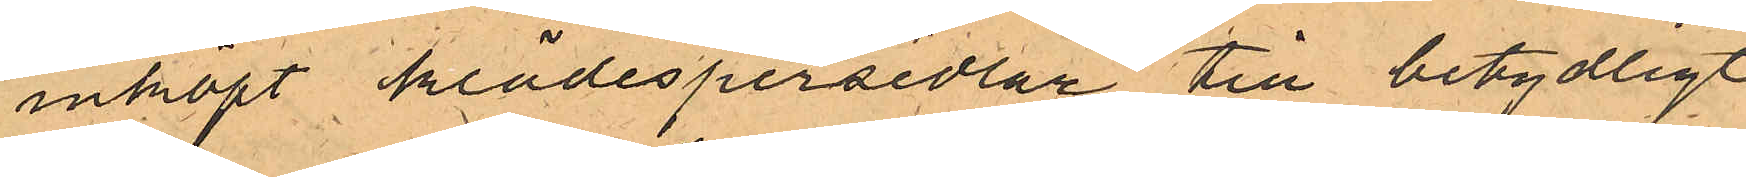inköpt klädespersedlar till betydligt
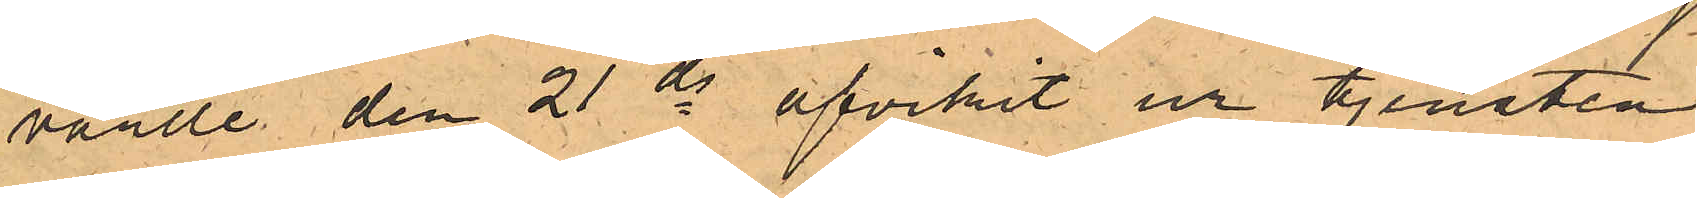värde den 21 ds afvikit ur tjensten.
